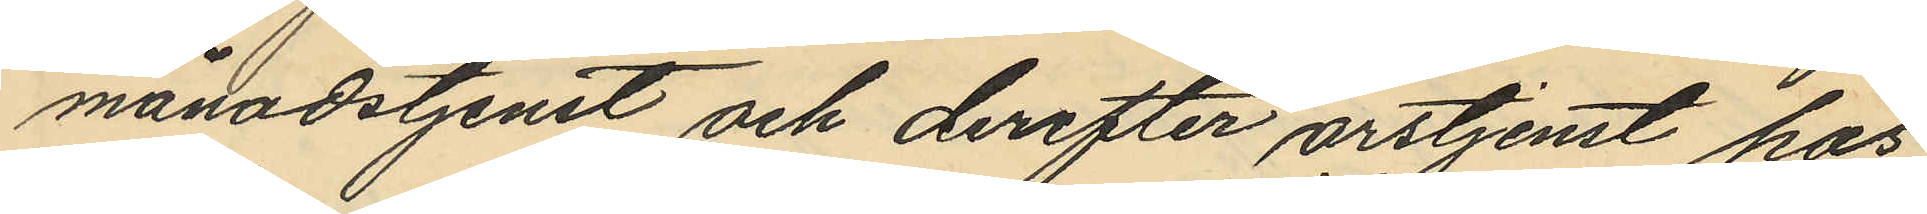månadstjenst och derefter årstjenst hos
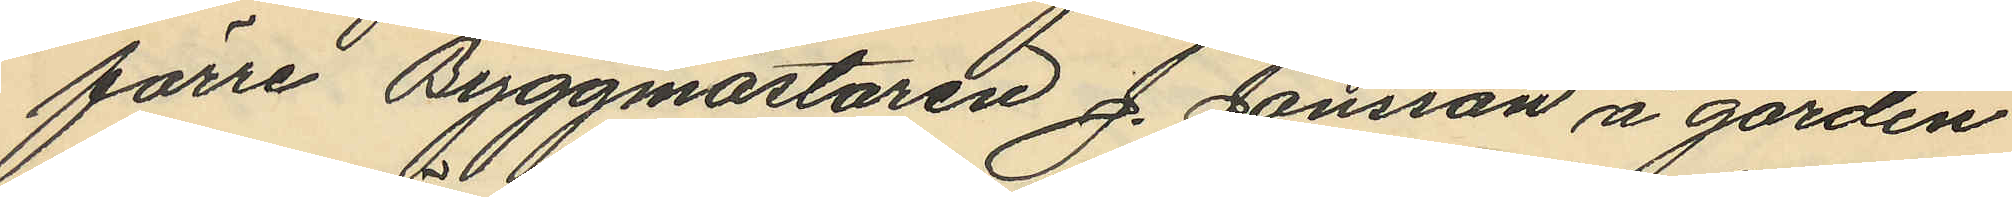förre Byggmästaren J. Jönsson å gården
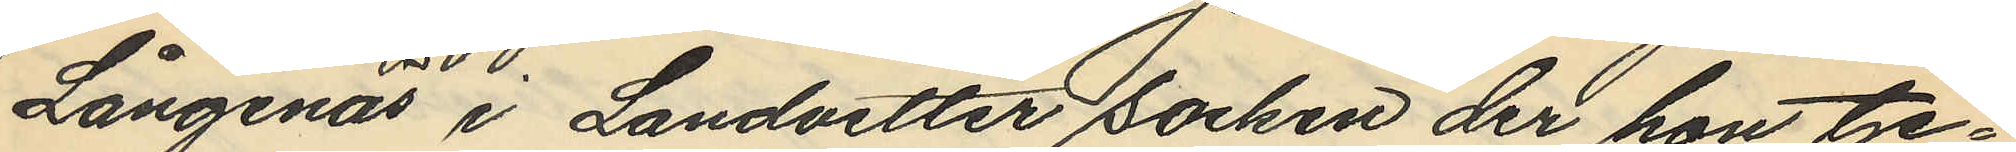Långenäs i Landvetter socken der hon tje¬
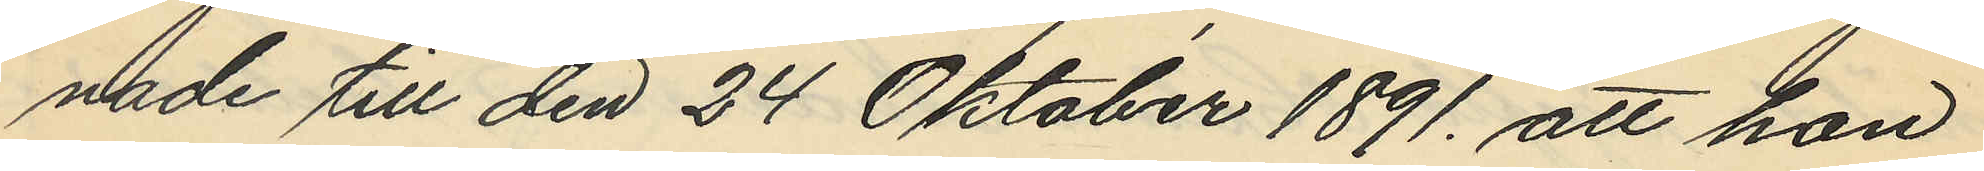nade till den 24 Oktober 1891. att hon
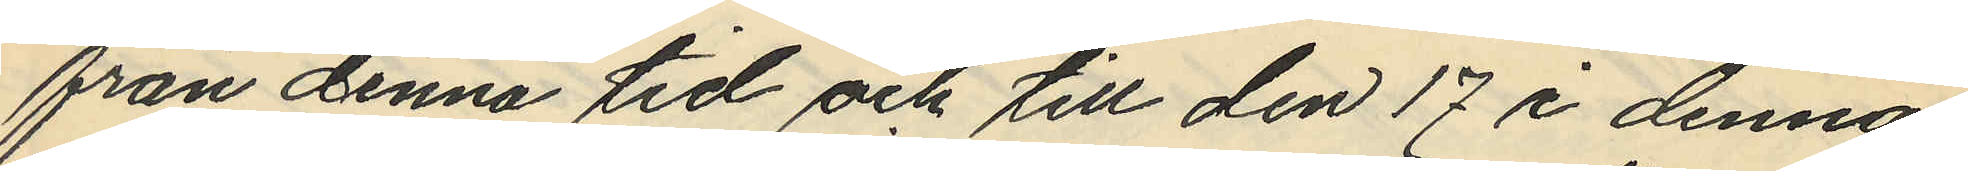från denna tid och till den 17 i denna
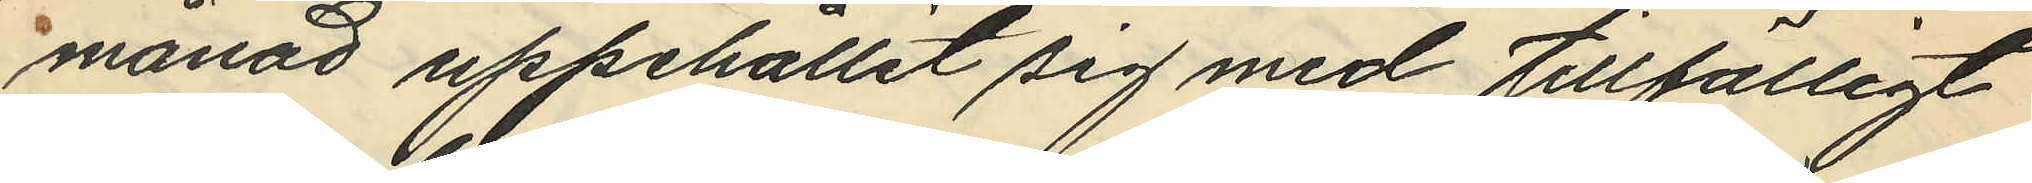månad uppehållit sig med tillfälligt
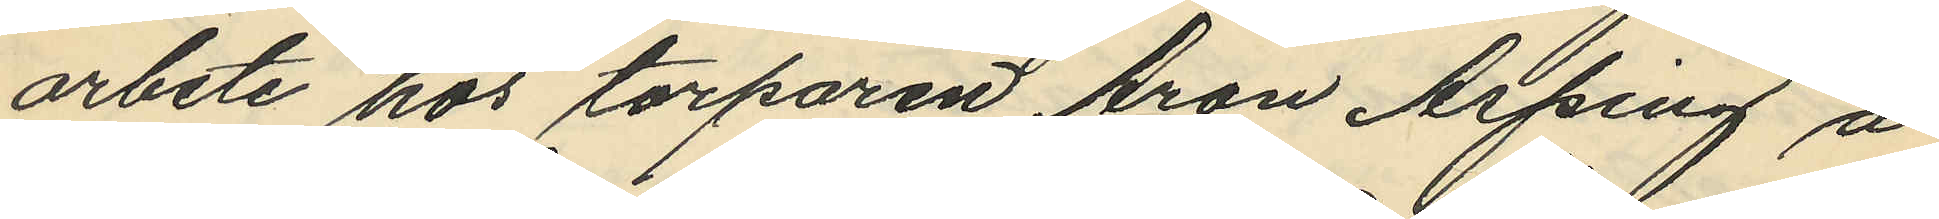arbete hos torparen Aron Asping å
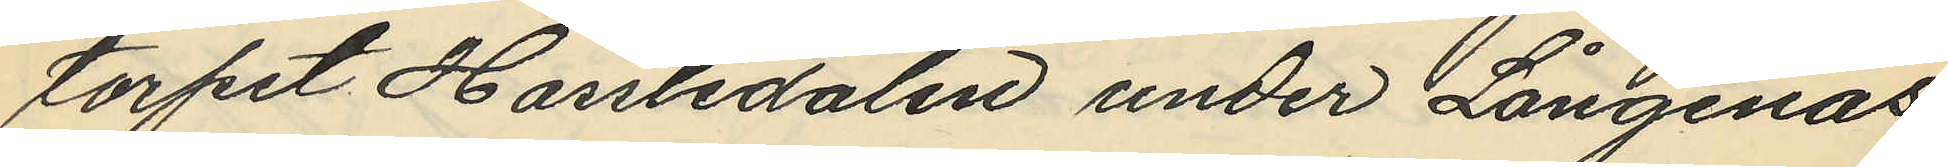torpet Hassledalen under Långenäs
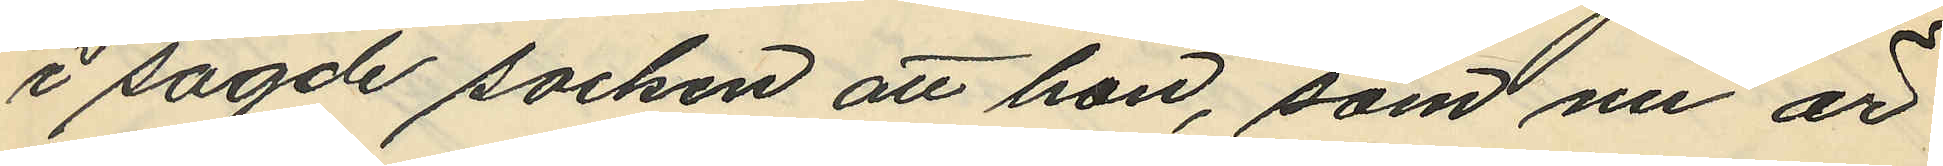i sagde socken att hon, som nu är
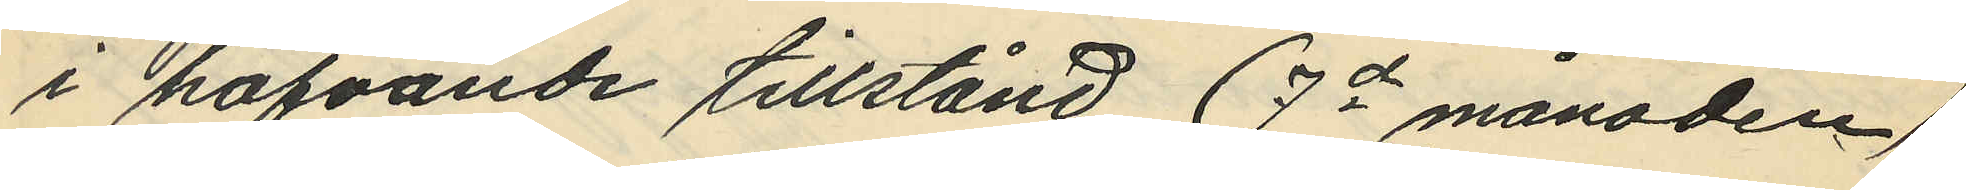i hafvande tillstånd (7de månaden)
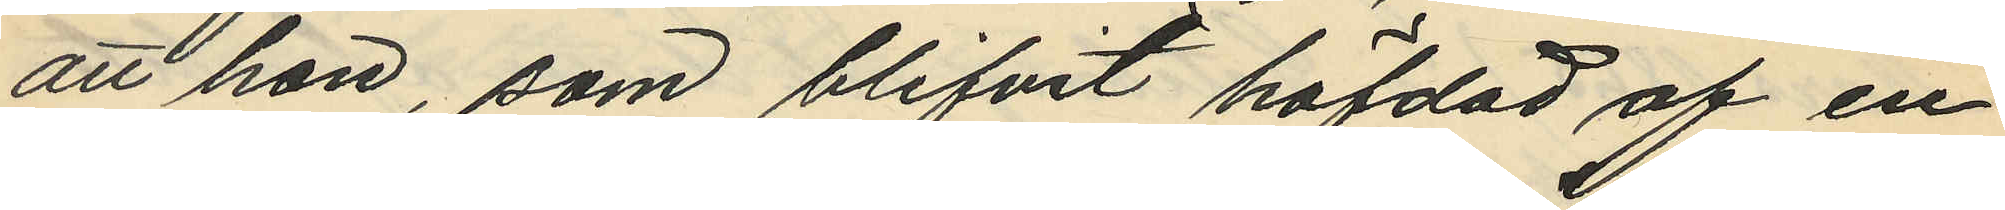att hon, som blifvit häfdad af en
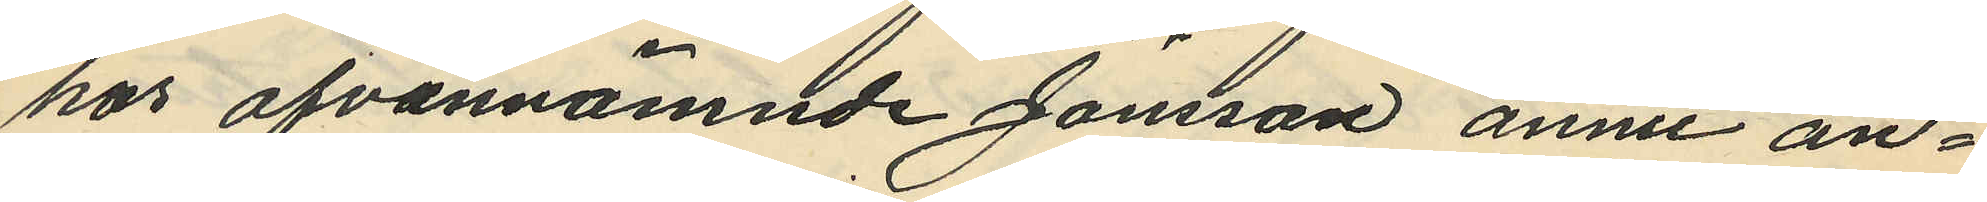hos ofvannämnde Jönsson ännu an¬
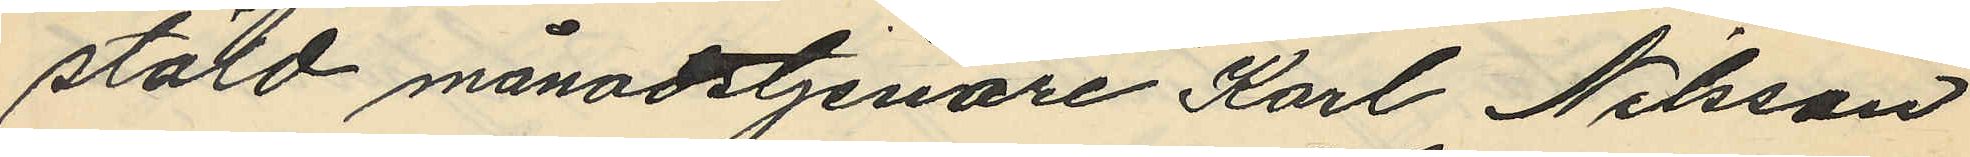stäld månadstjenare Karl Nilsson
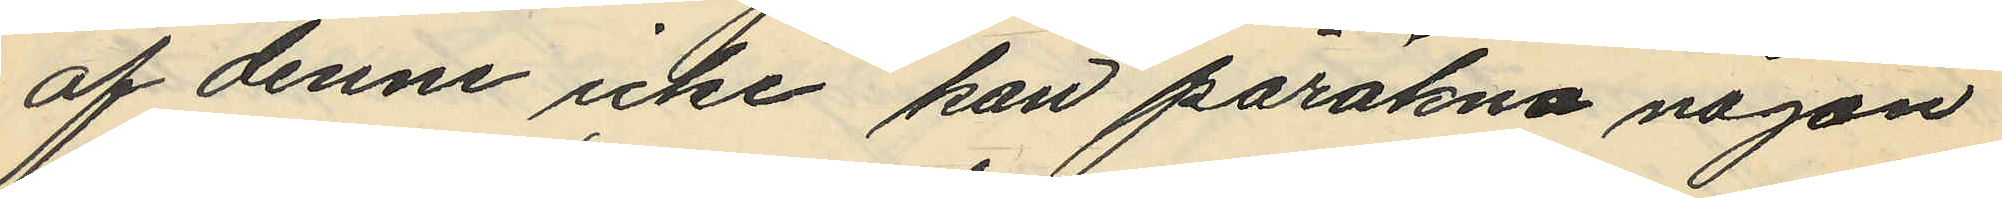af denne icke kan påräkna någon
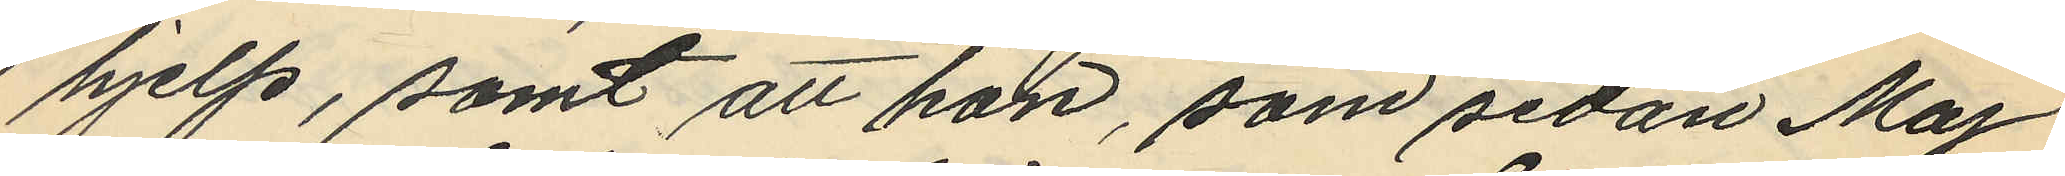hjelp, samt att hon, som sedan Maj
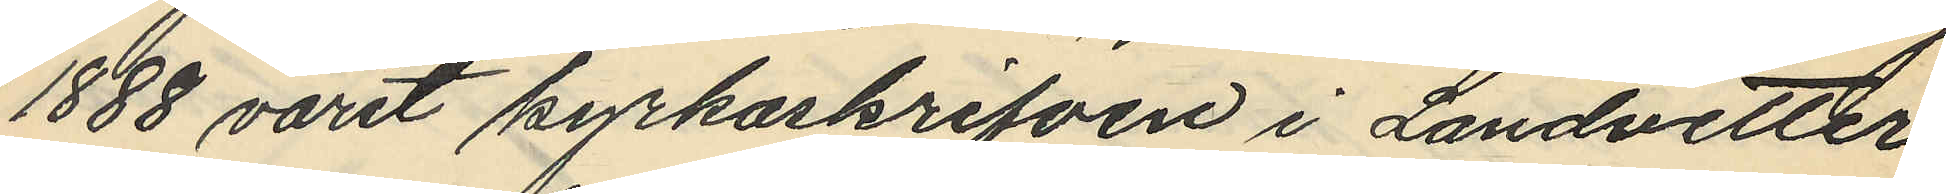1888 varit kyrkoskrifven i Landvetter
